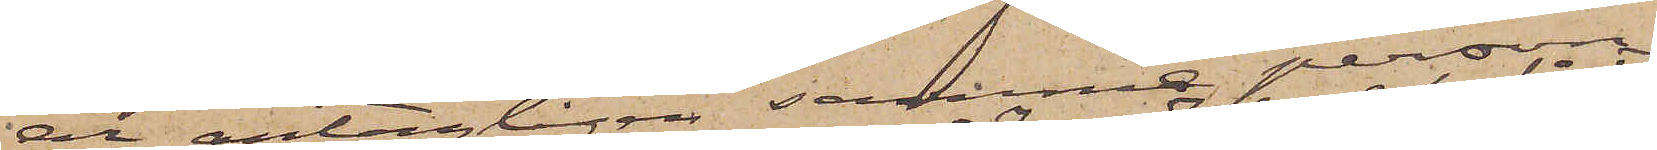är antagligen samma person,
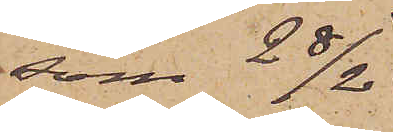som 28/2
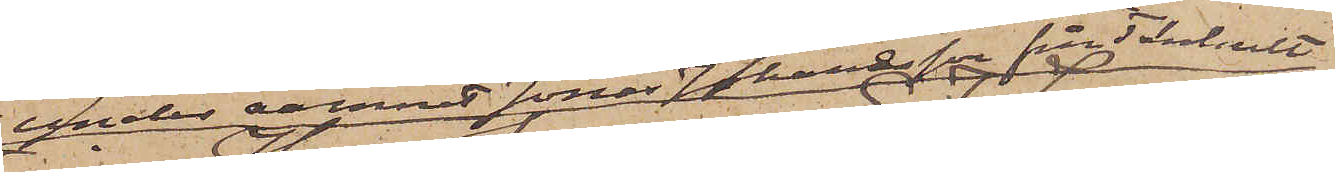under namnet Jonas Johannesson från Tenhult
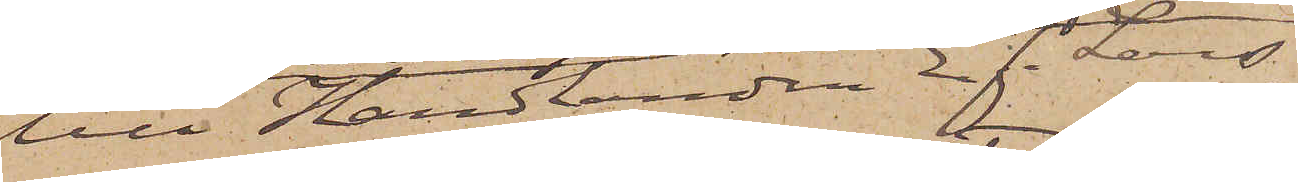till Handlanden E. F. Lars¬
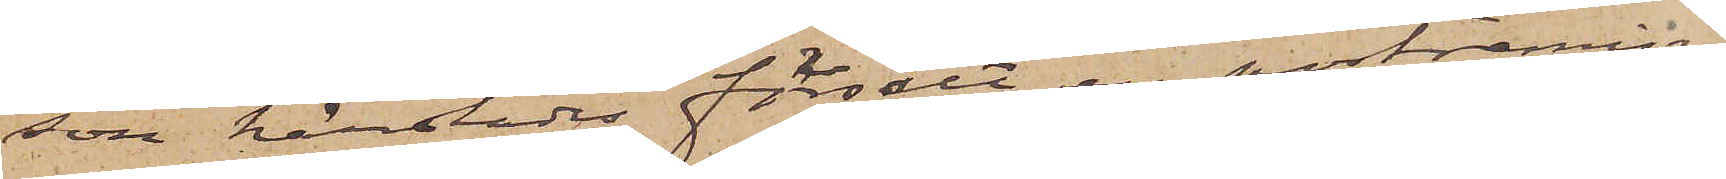son härstädes försålt en portremiss¬
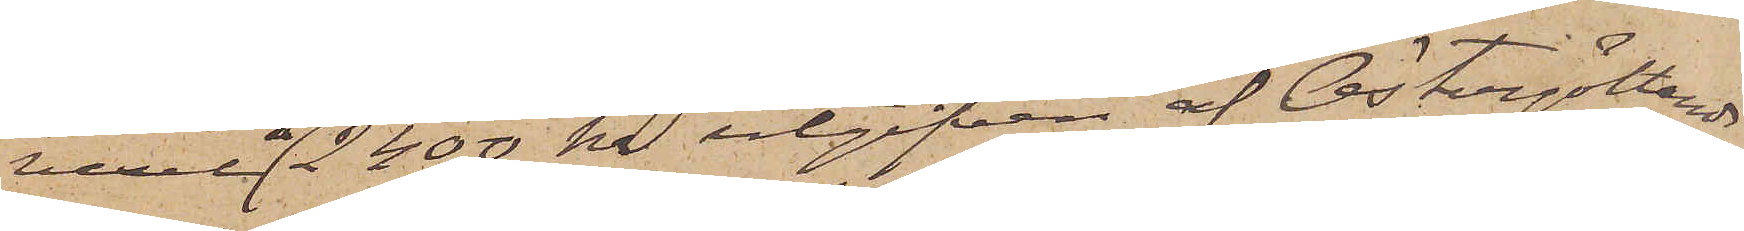vexel å 2400 kr utgifven af Östergötlands
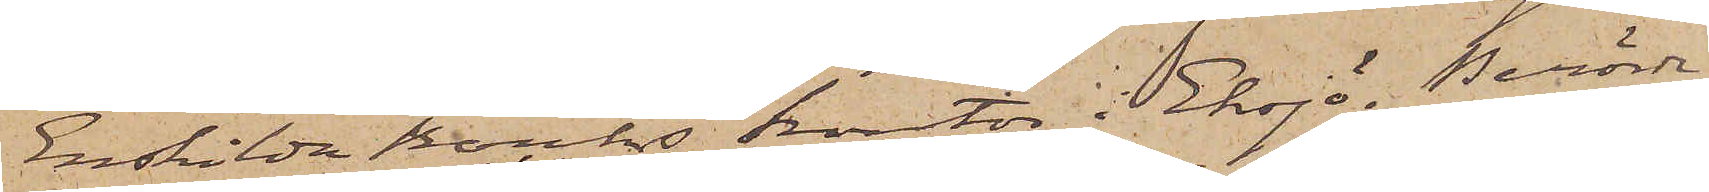Enskilda Banks kontor i Eksjö. Berörde
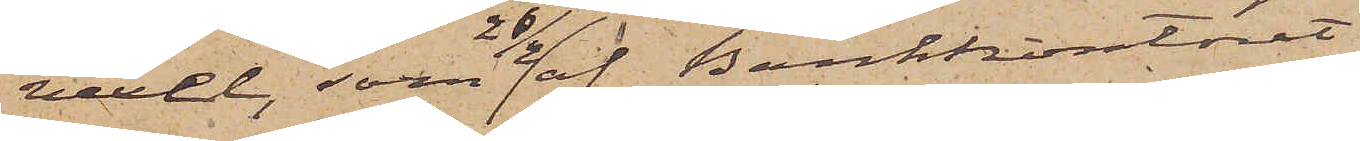vexel, som 26/2 af Bankkontoret
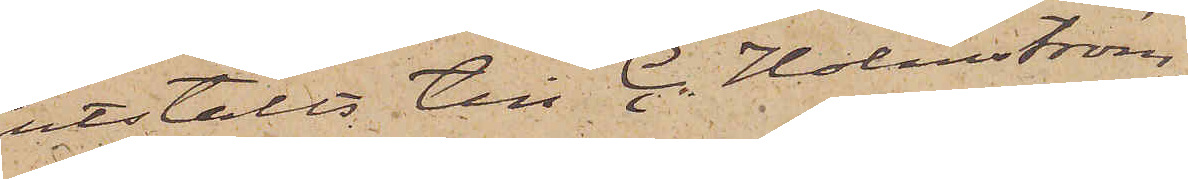utstälts till C. Holmström,
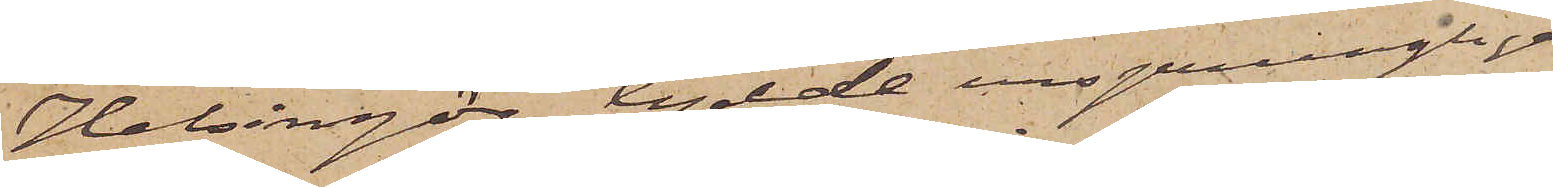Helsingör, lydde ursprungligen
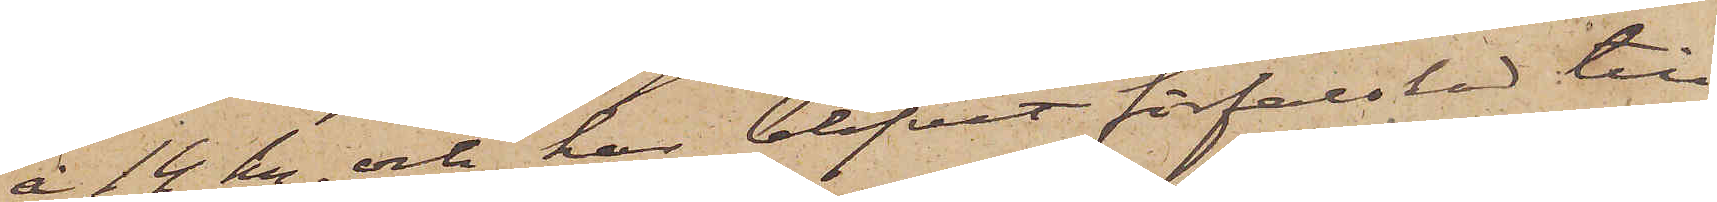å 14 kr. och har blifvit förfalskad till
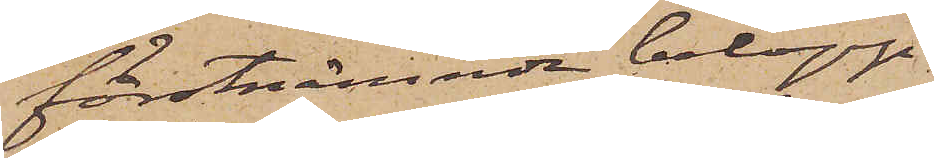förstnämnde belopp.
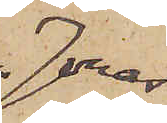Jonas
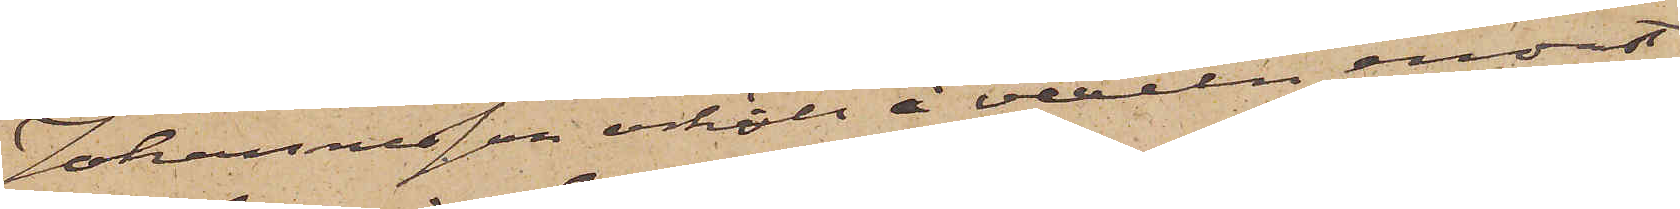Johannesson erhöll å vexeln endast
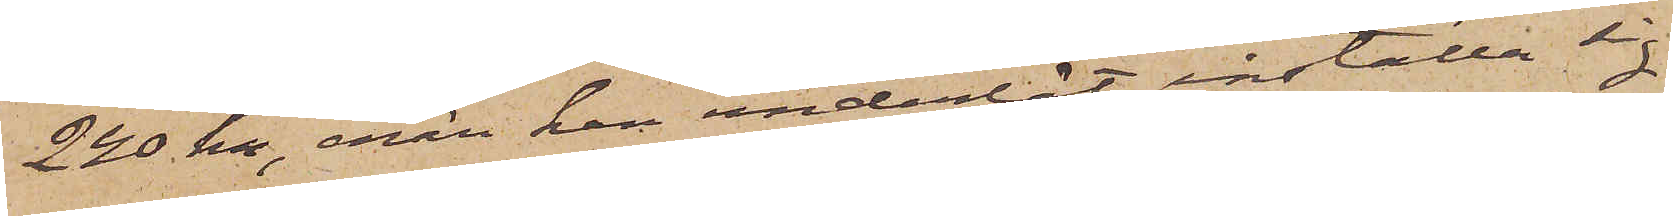240 kr, enär han underlät inställa sig
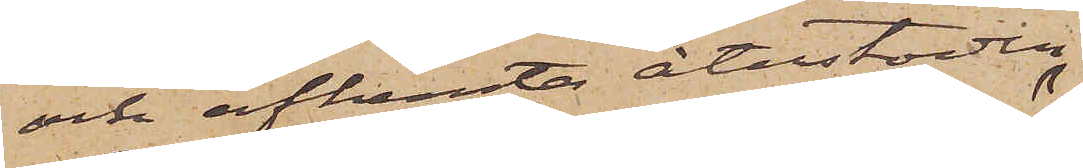och afhemta återstoden.
